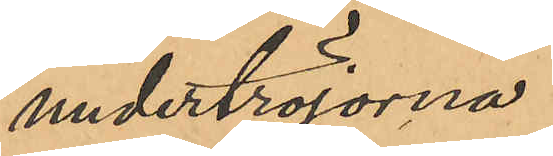undertröjorna
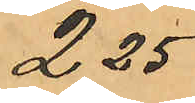2,25
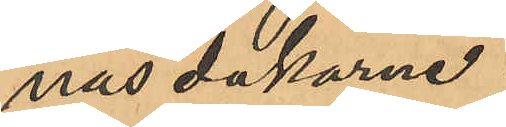näsdukarne
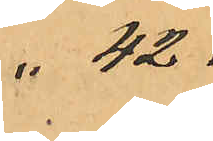" 42
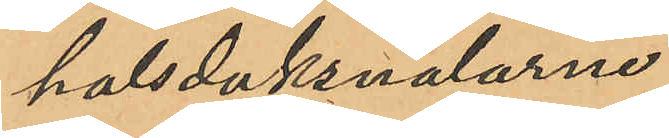halsduksnålarne
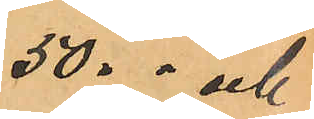50 " " och
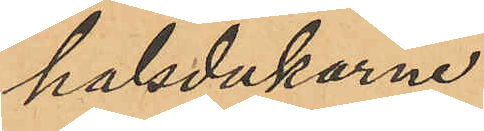halsdukarne
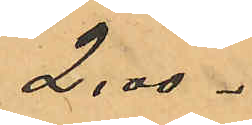2,00 "
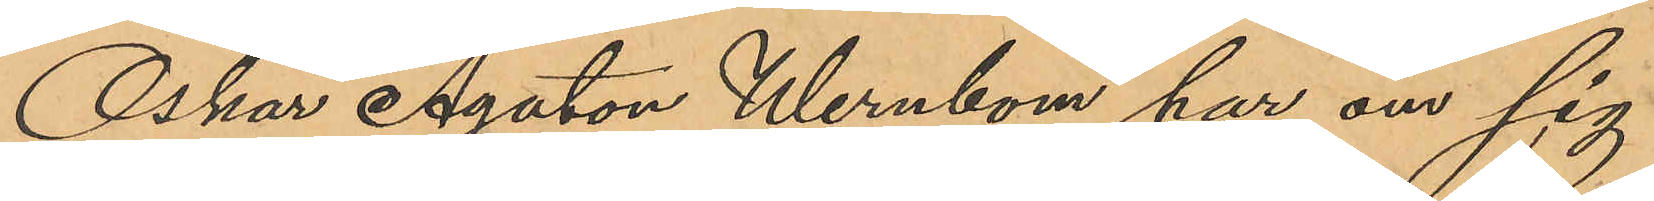Oskar Agaton Wernbom har om sig
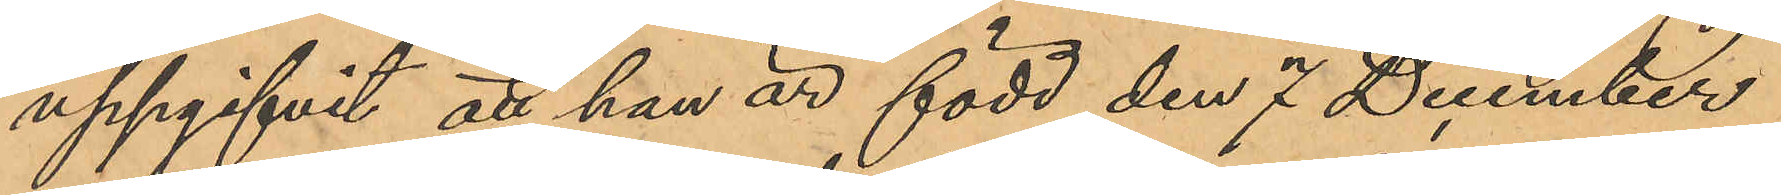uppgifvit att han är född den 7 December
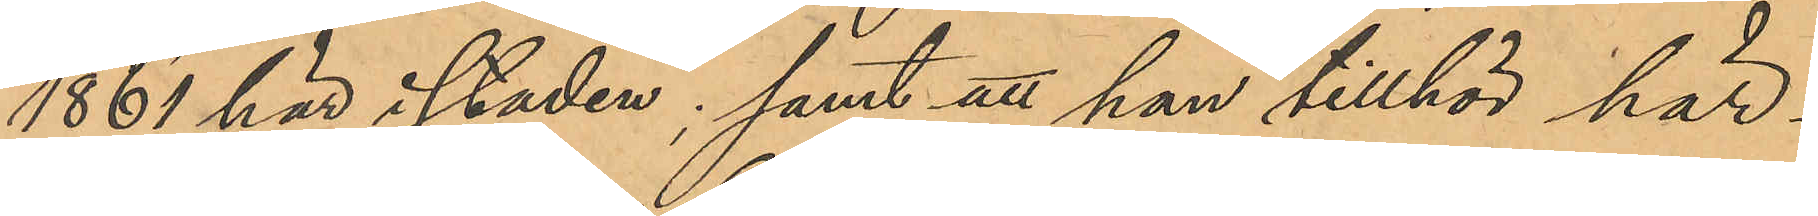1861 här i staden; samt att han tillhör här¬
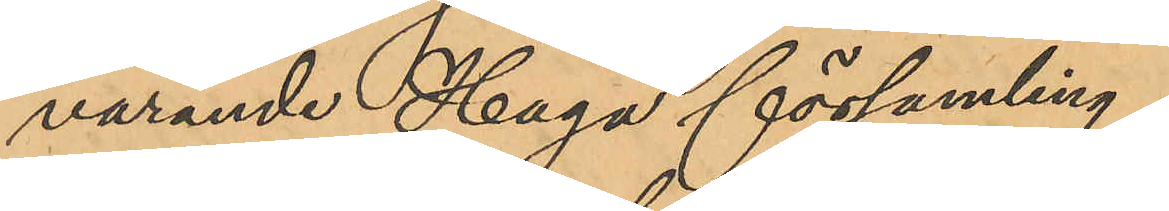varande Haga församling.
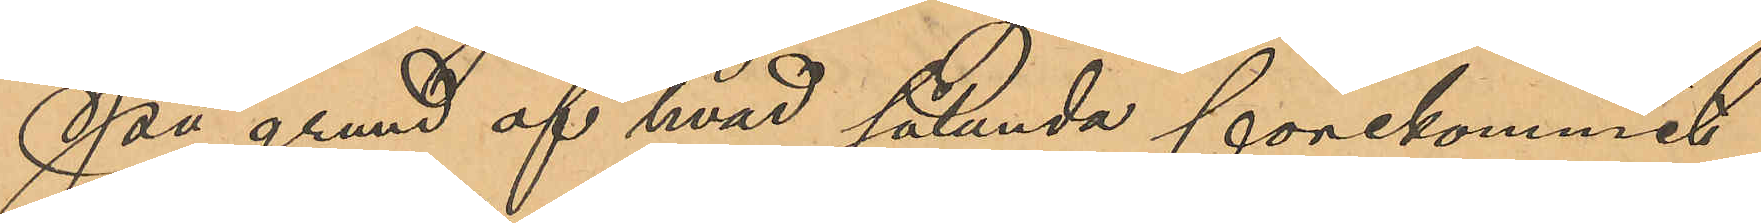På grund af hvad sålunda förekommit
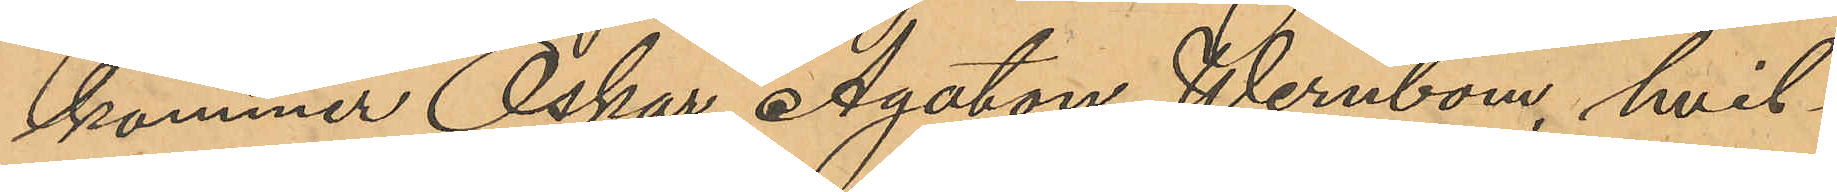kommer Oskar Agaton Wernbom, hvil¬
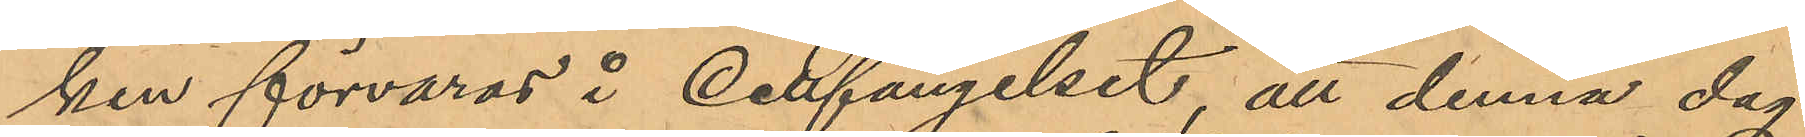ken förvaras i Cellfängelset, att denna dag
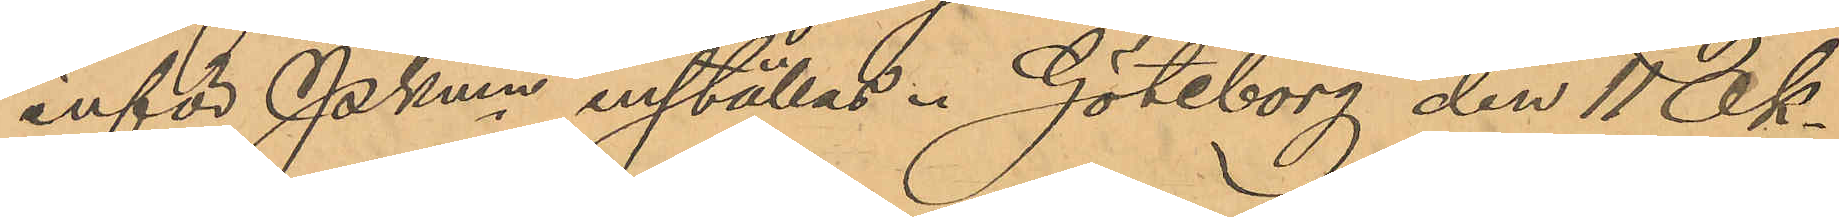inför Pkmn inställas. Göteborg den 11 Ok¬
